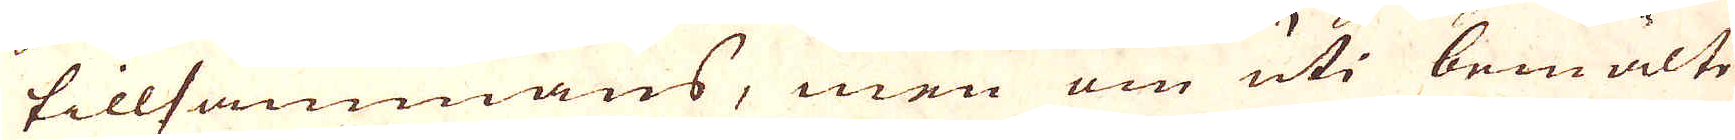tillsammans, men om uti bemälte
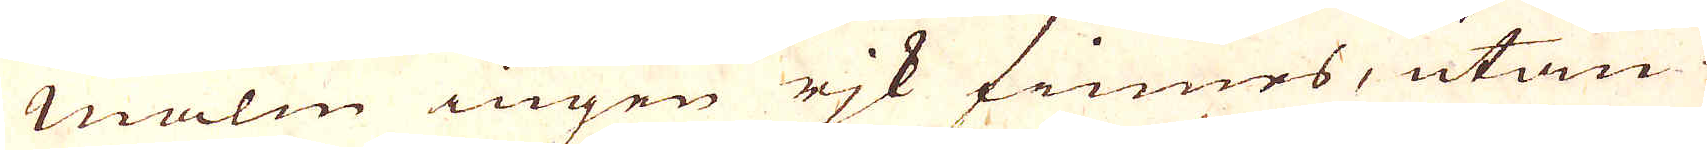Malm ingen rjk finnes, utan
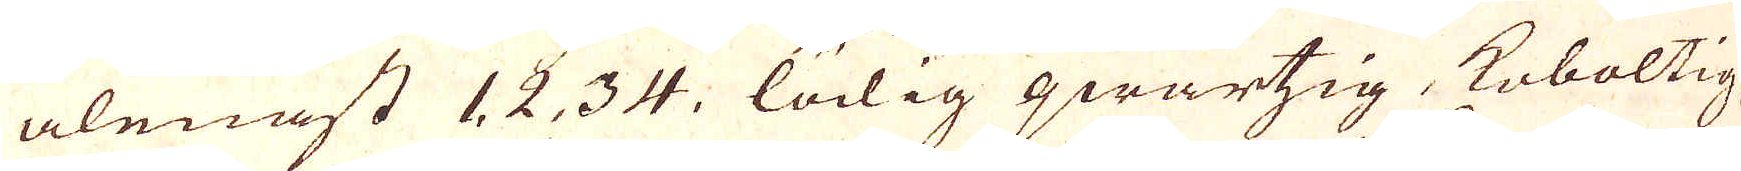alenast 1, 2, 3, 4, lödig qwartzig, koboltig
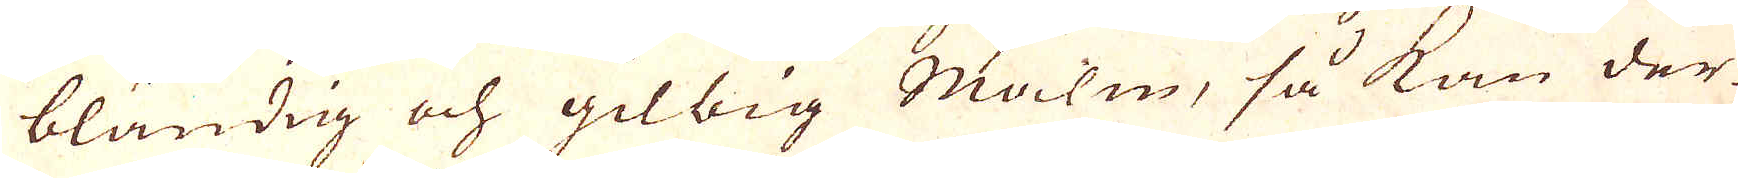bländig och gilbig Malm, så kan der-
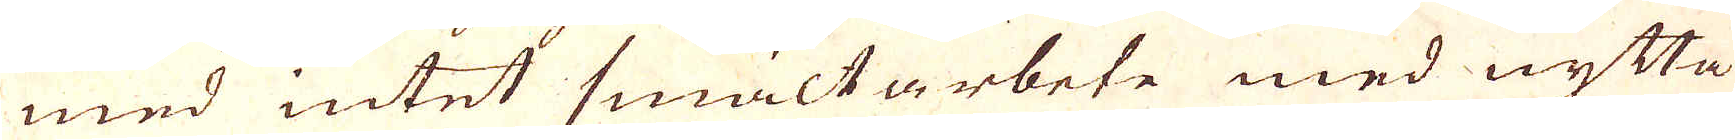med intet smältarbete med nytta
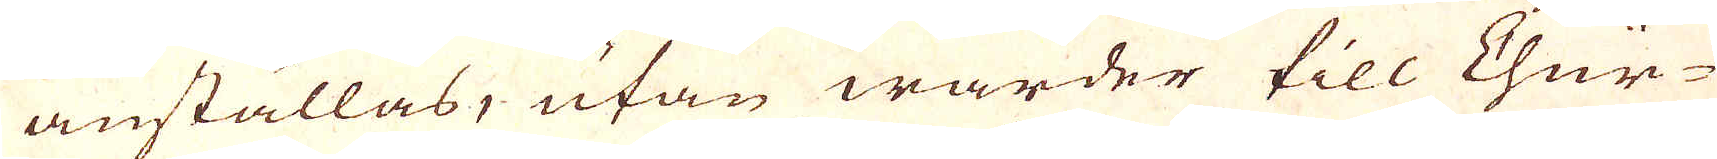anställas, utan warder till Chur-
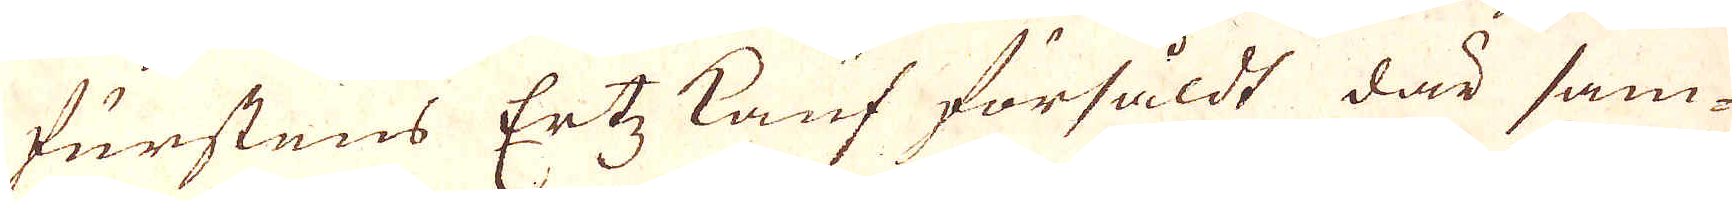furstens Ertz kauf försåldt där sam-
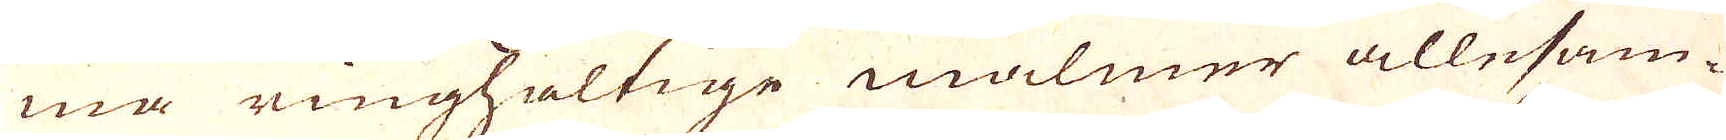ma ringhaltige malmer allesam-
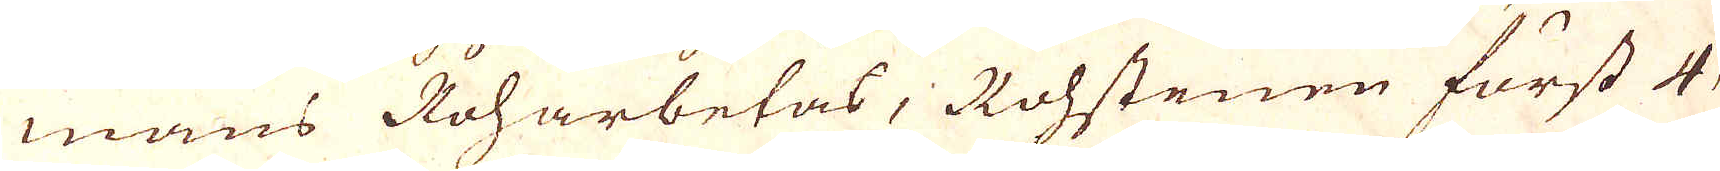mans Roharbetas, Rohstenen först 4,
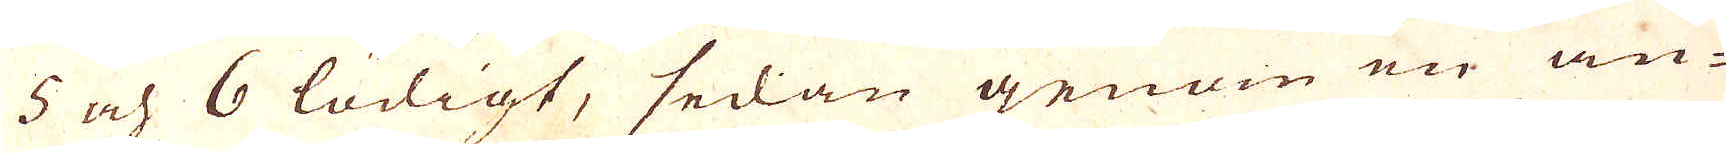5 och 6 lödigt, sedan genom en an-
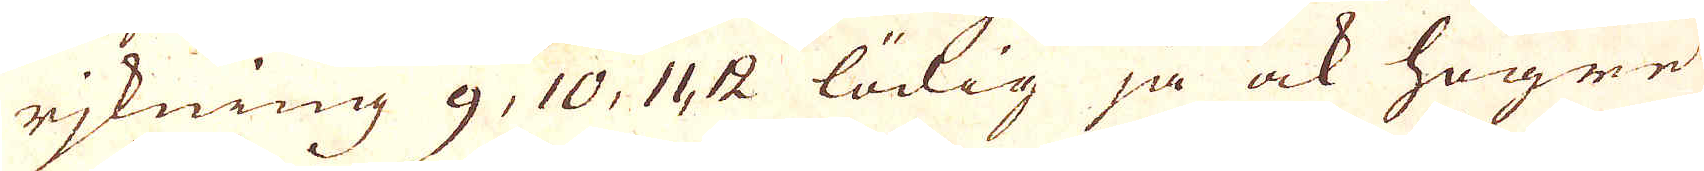rjkning 9, 10, 11,  12 lödig ja ock högre
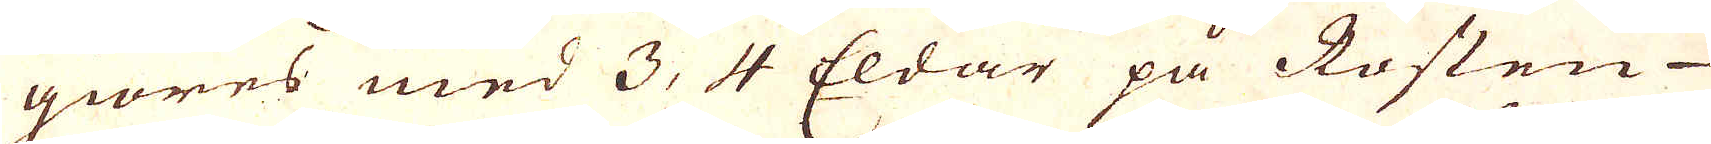giöres med 3, 4 Eldar på Rosten
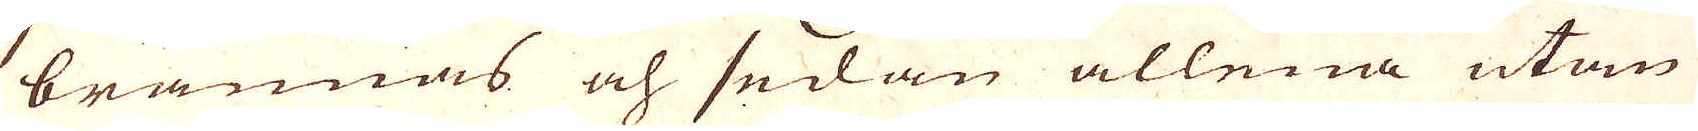brännas och sedan allena utan
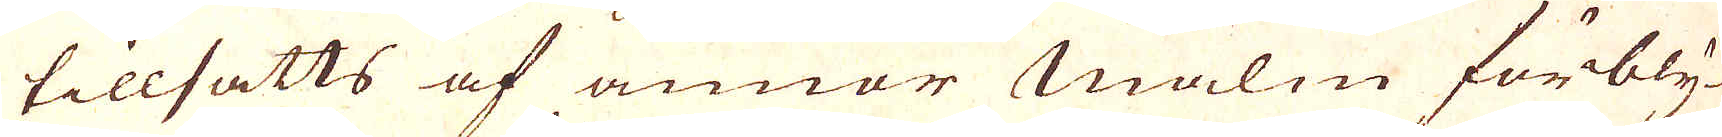tillsatts af annor Malm förbly-
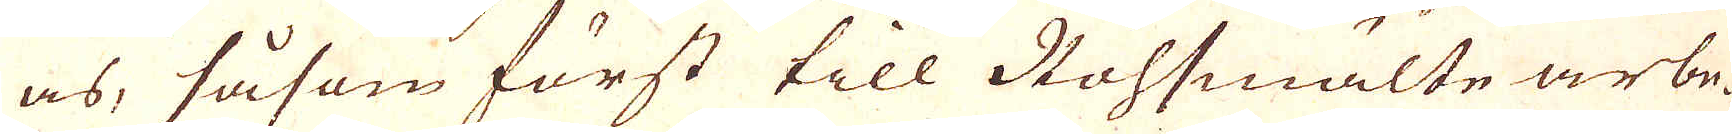as, såsom först till Rohsmälte arbe-
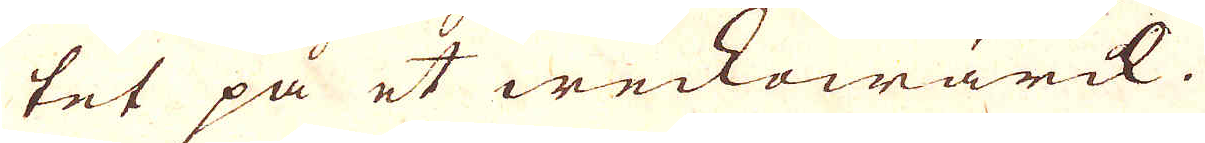tet på et weckowärck.
